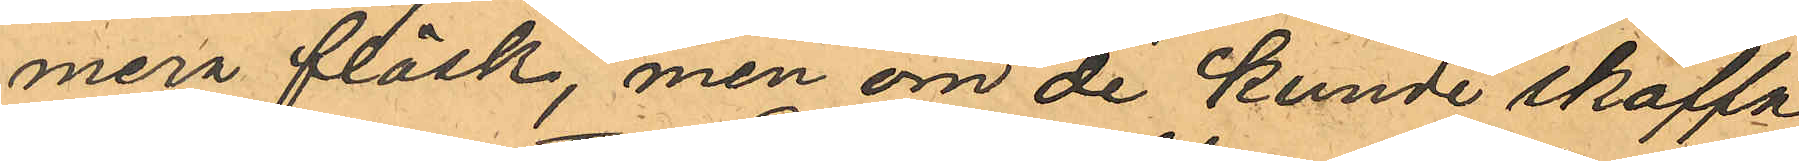mer fläsk, men om de kunde skaffa
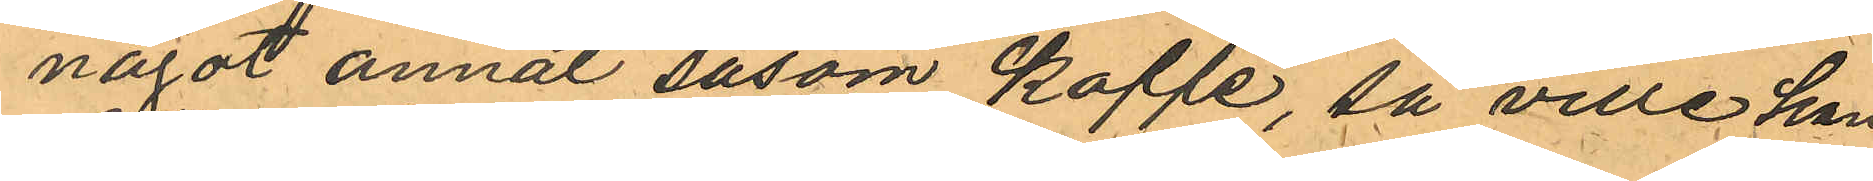något annat såsom Kaffe, så ville han
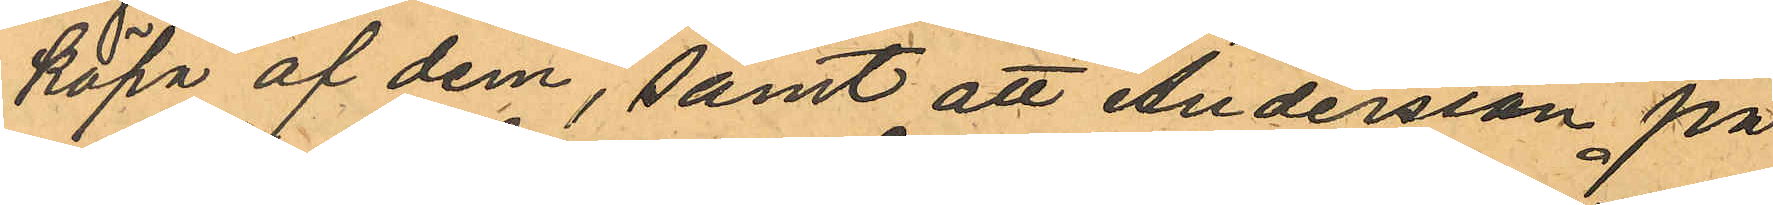köpa af dem, samt att Andersson på
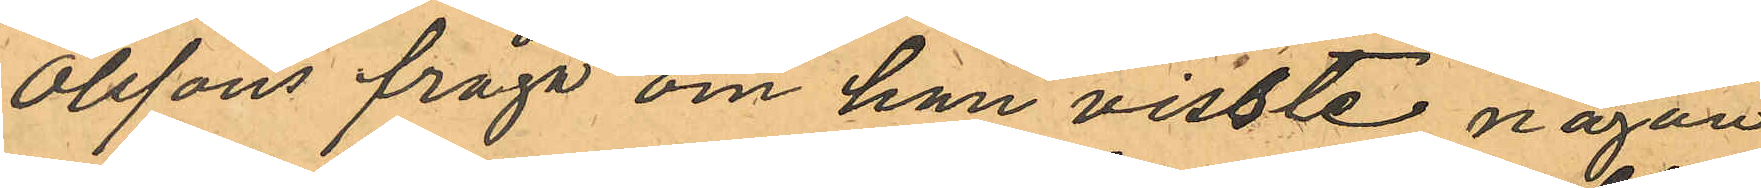Olssons fråga om han visste någon
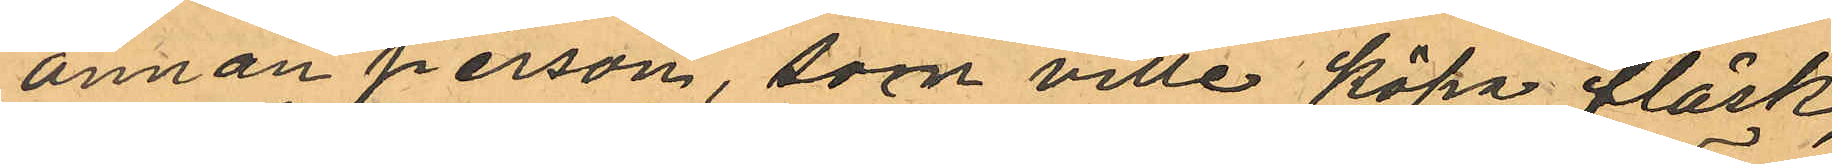annan person, som ville köpa fläsk,
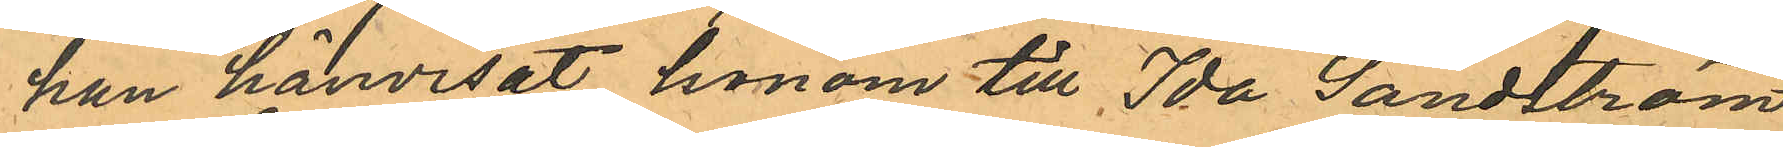han hänvisat honom till Ida Sandström
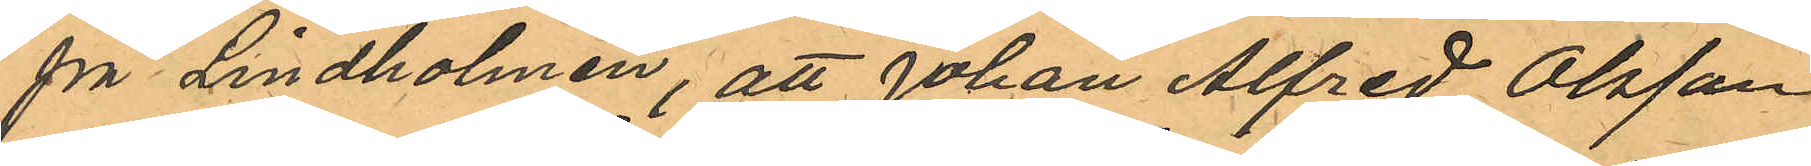på Lindholmen, att Johan Alfred Olsson
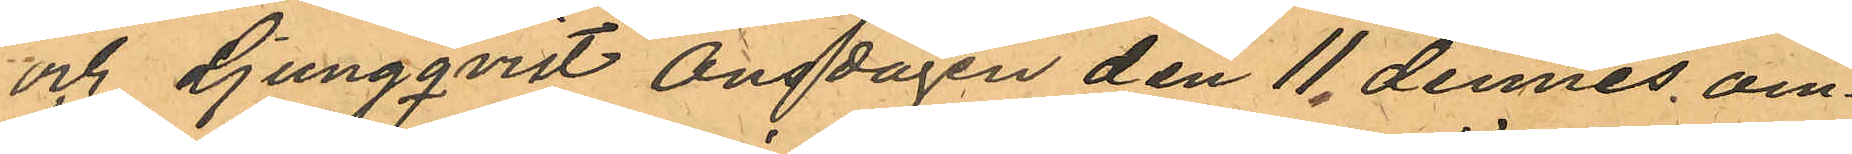och Ljungqvist Onsdagen den 11 dennes om¬
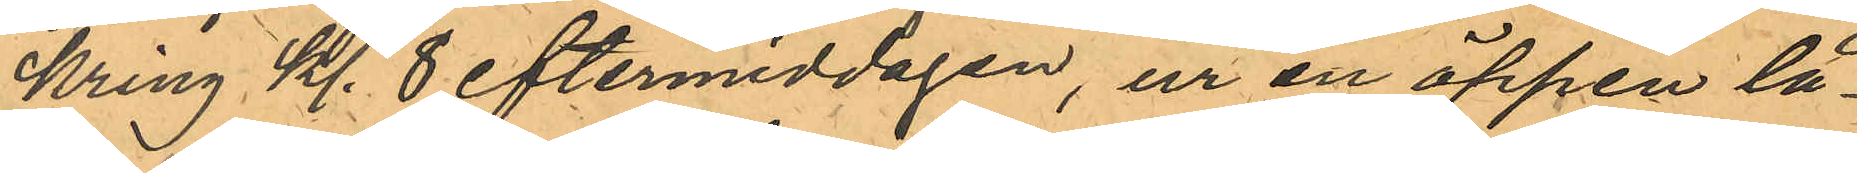kring kl. 8 eftermiddagen, ur en öppen lå¬
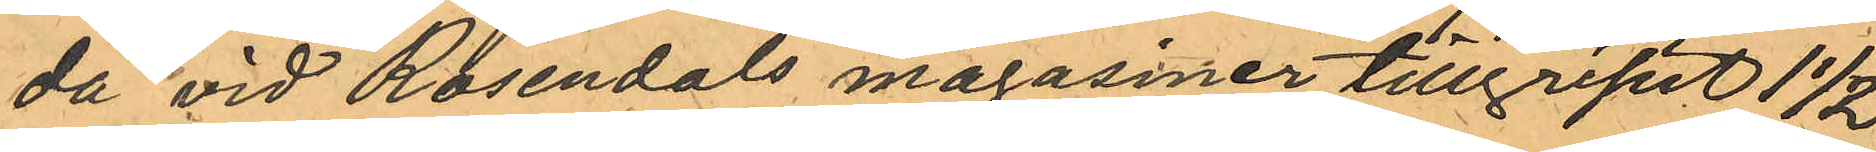da vid Rosendals magasiner tillgripit 1 1/2 
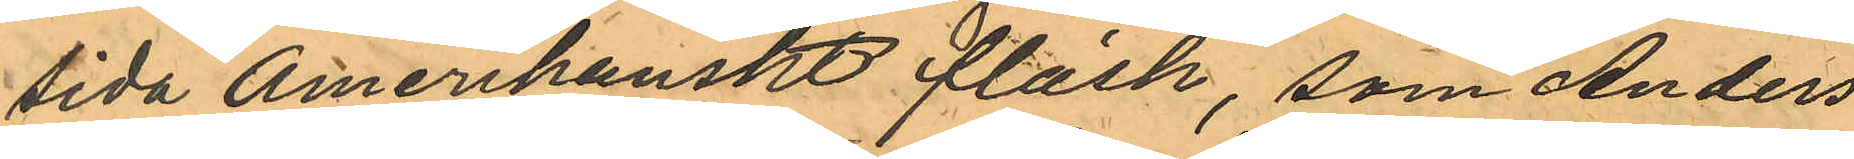Sida Amerikanskt fläsk, som Anders¬
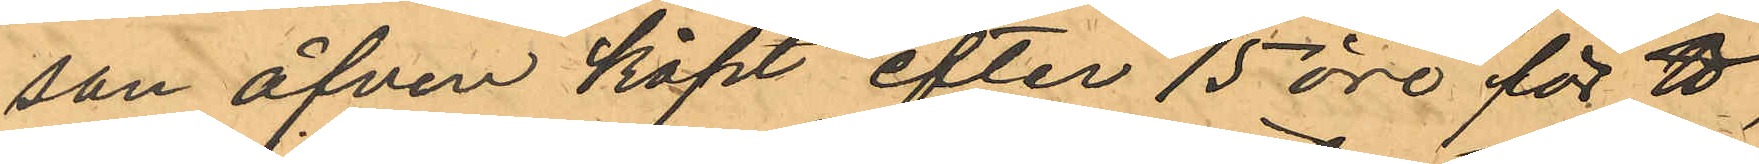son äfven köpt efter 15 öre för ℔,
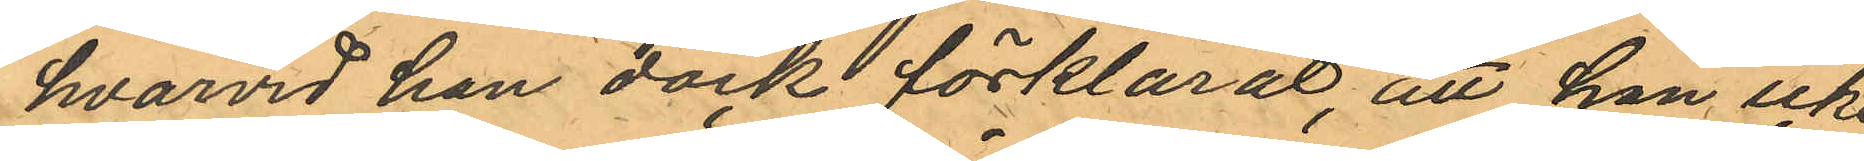hvarvid han dock förklarat, att han icke
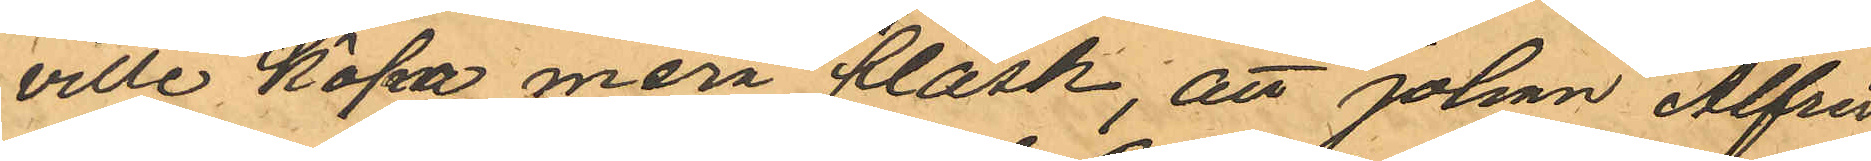ville köpa mera fläsk, att Johan Alfred
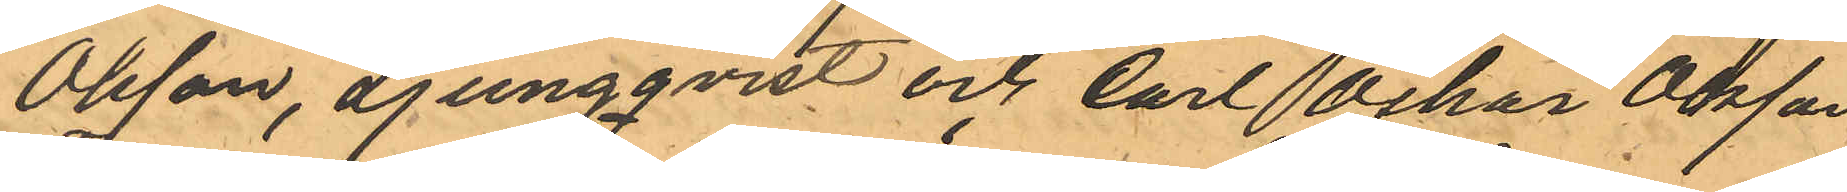Olsson, Ljungqvist och Carl Oskar Olsson
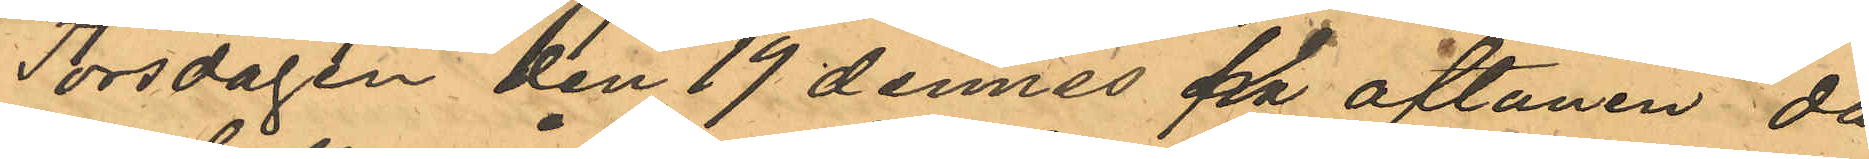Torsdagen den 19 dennes på aftonen då
